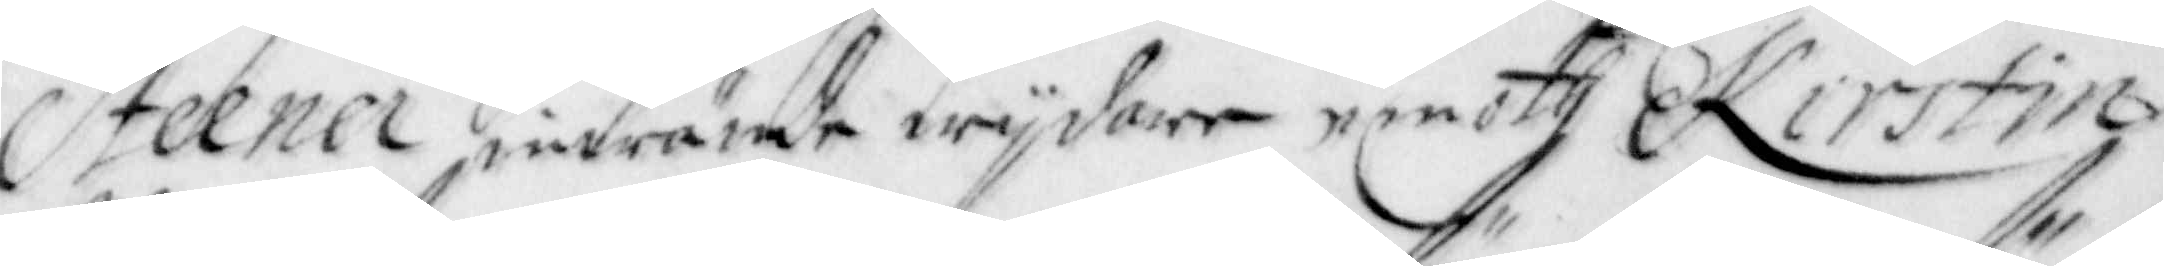Steener inwände wijdare emoth Kirstin
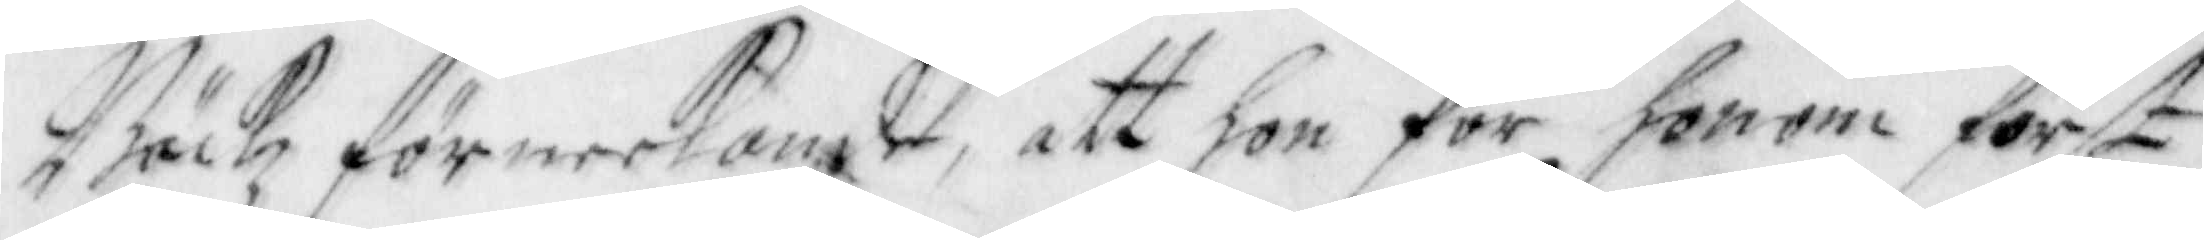Bäckz förneekande, att hon för honom först
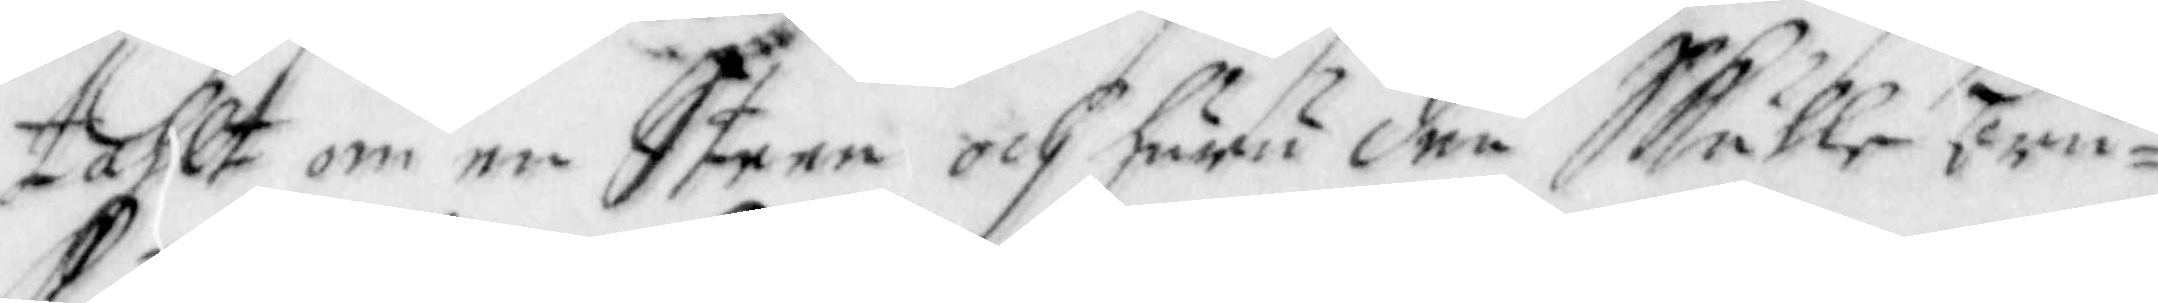tahlt om en Steen och huru den Skulle bru¬
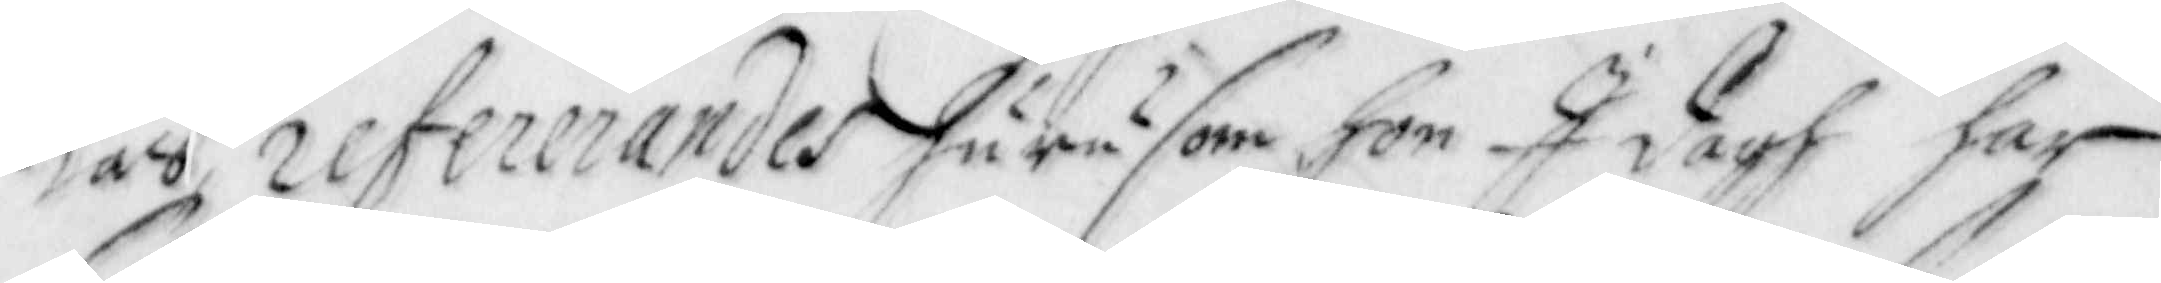kas refererandes hurusom hon I dagh har
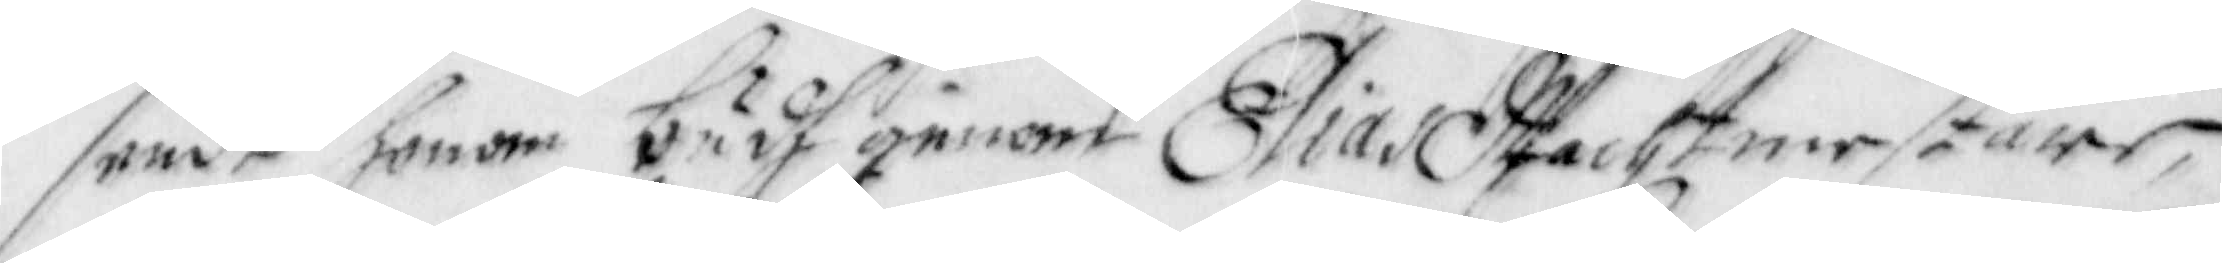sendt honom budh genom Elias Wachtmestare,
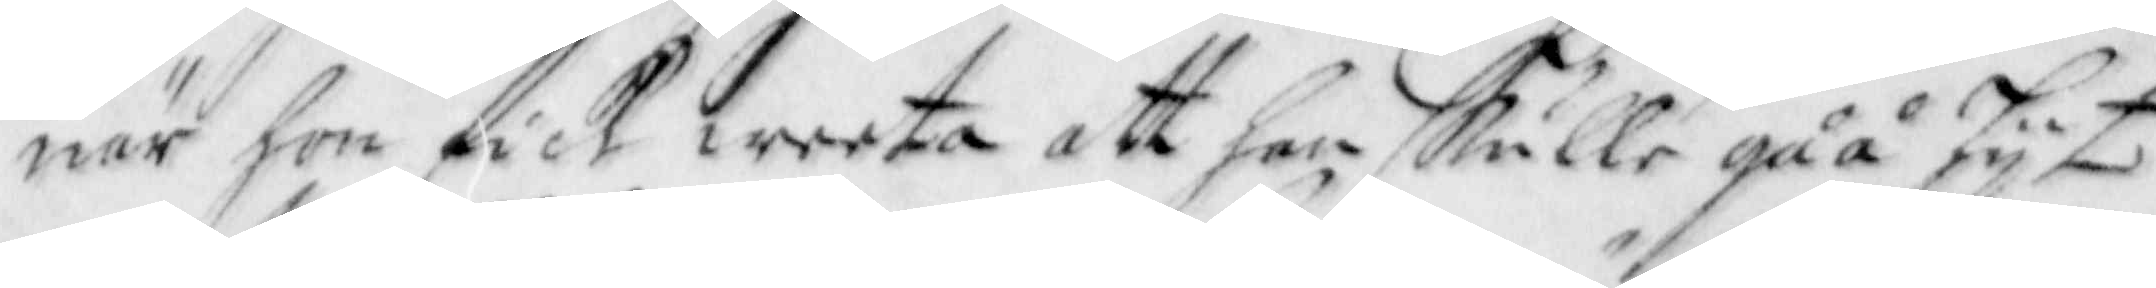när hon fick weeta att han skulle gåå hijt
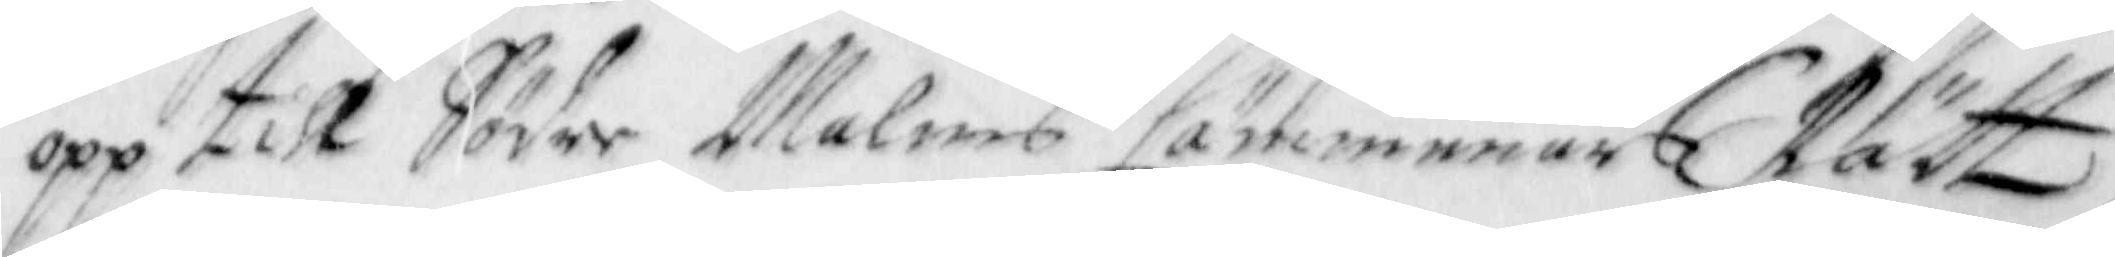opp till Söder Malms Cämmenärs Rätt,
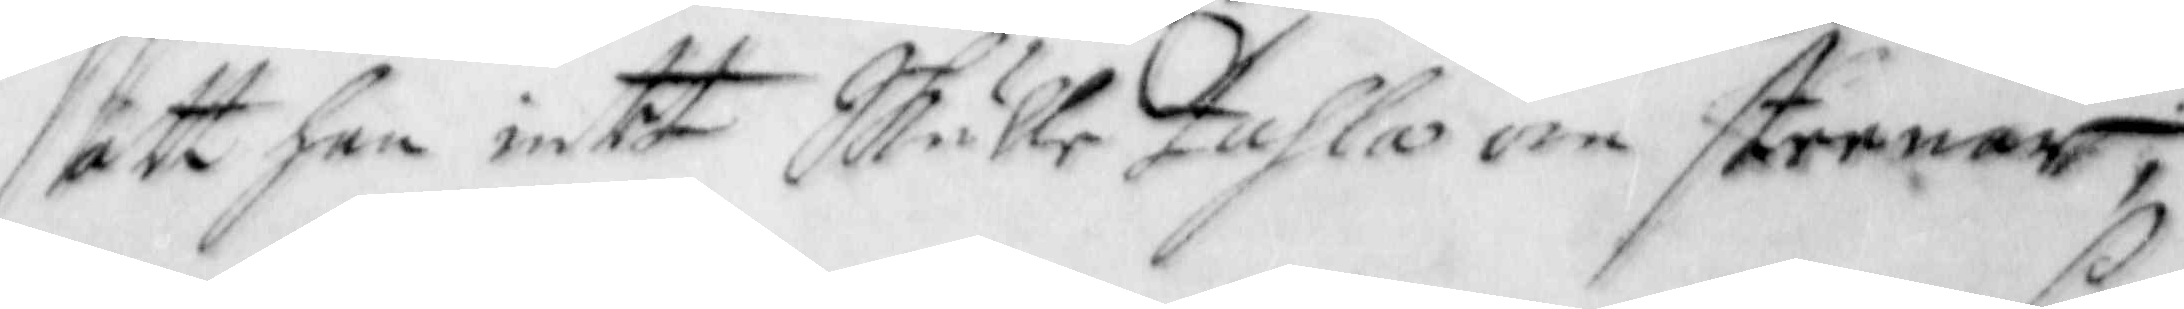att han intet Skulle tahla om steenar,
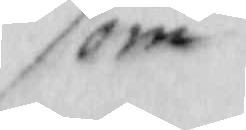som
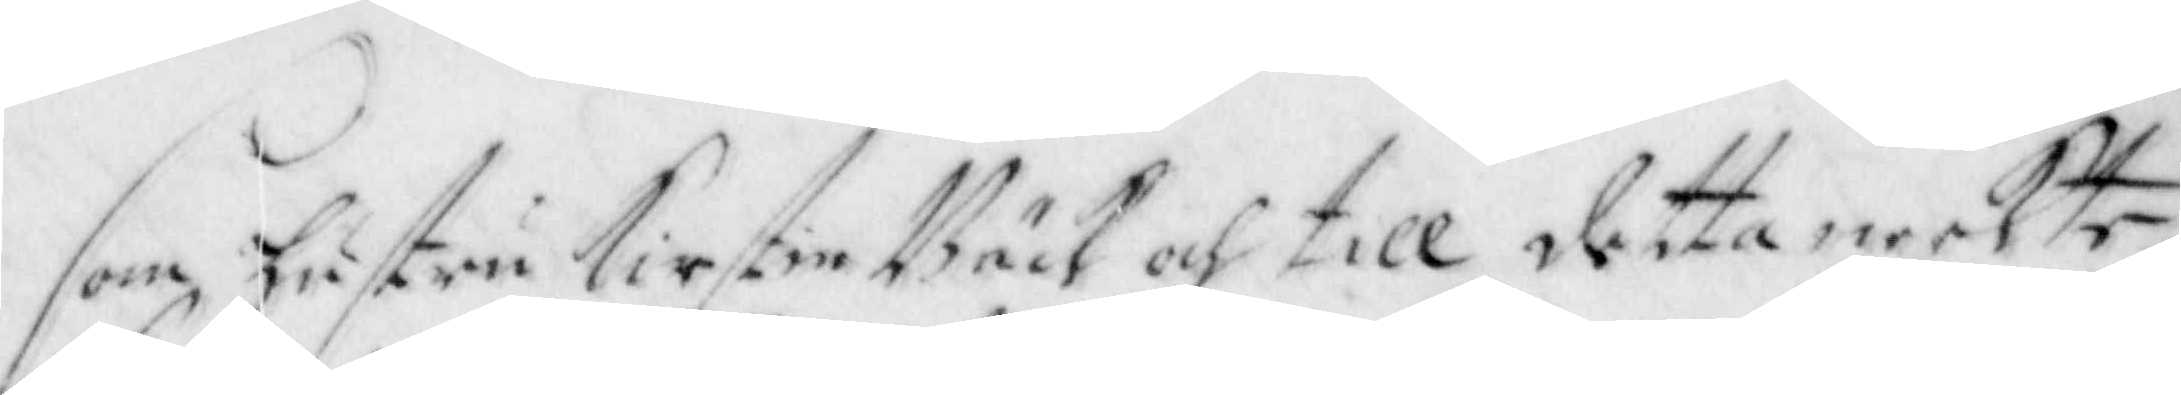som hustru Kirstin Bäck och till detta neekte,
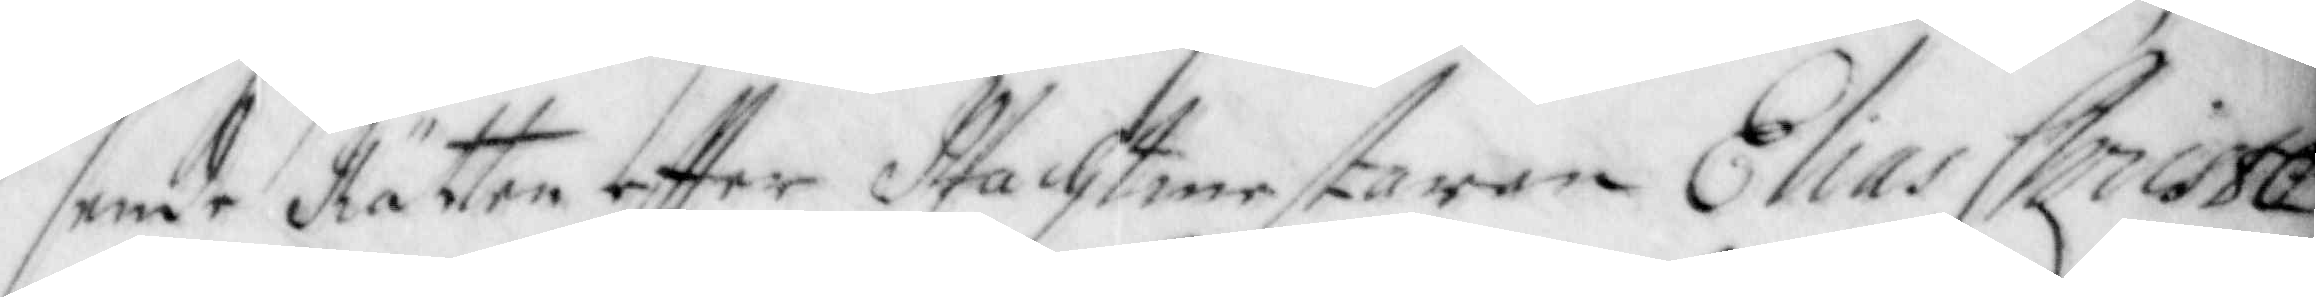sende Rätten effter Wachtmestaren Elias Christo¬
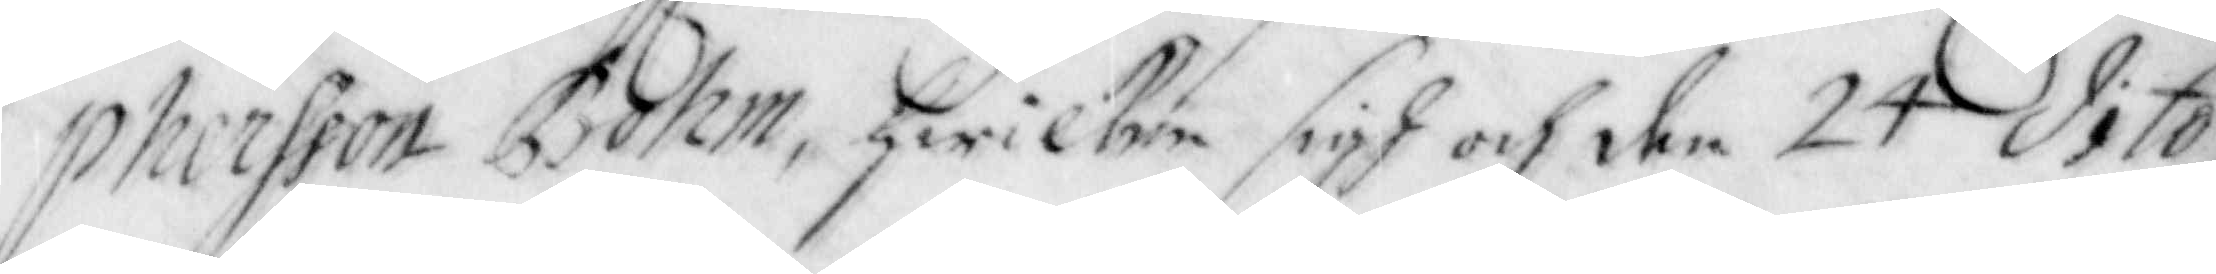phersson Bohm, hwilcken sigh och den 24 dito
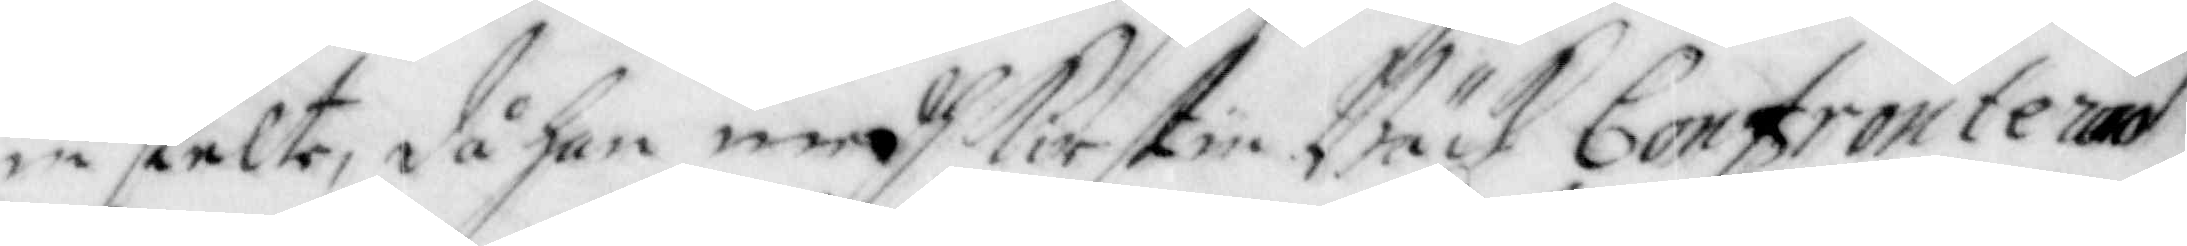instelte, då han medh Kirstin Bäck Confronterad
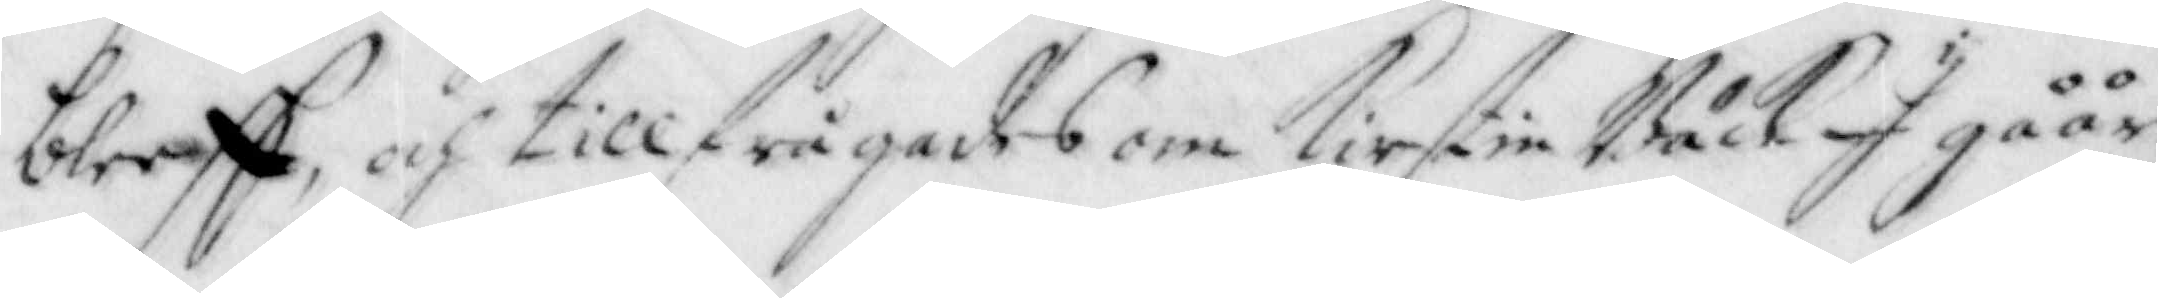bleeff, och tillfrågades om Kirstin Bäck I gåår
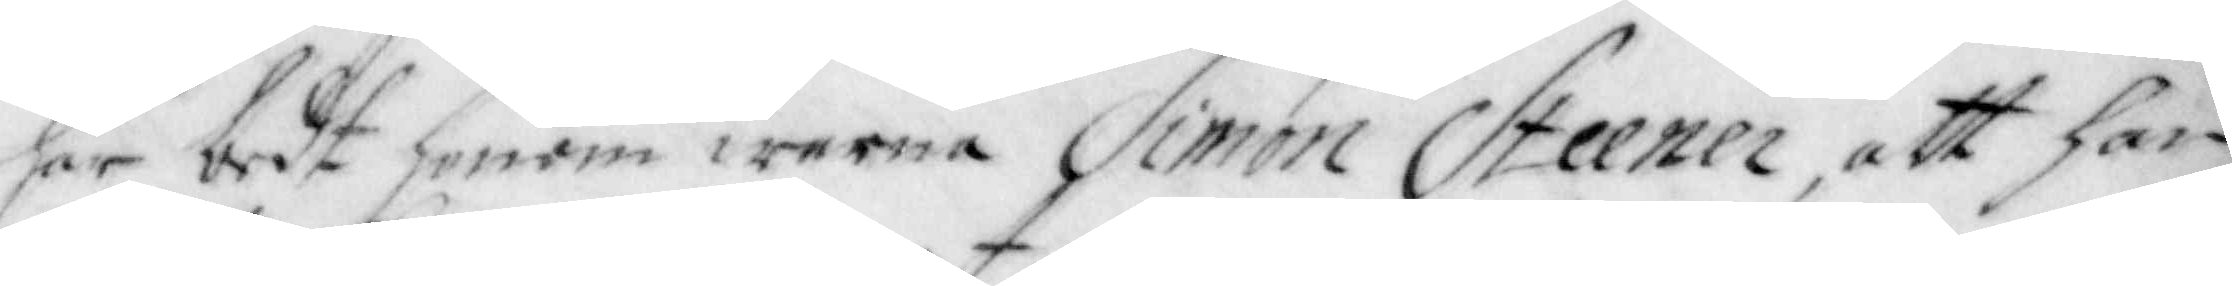har bedt honom warna Simon Steener, att han
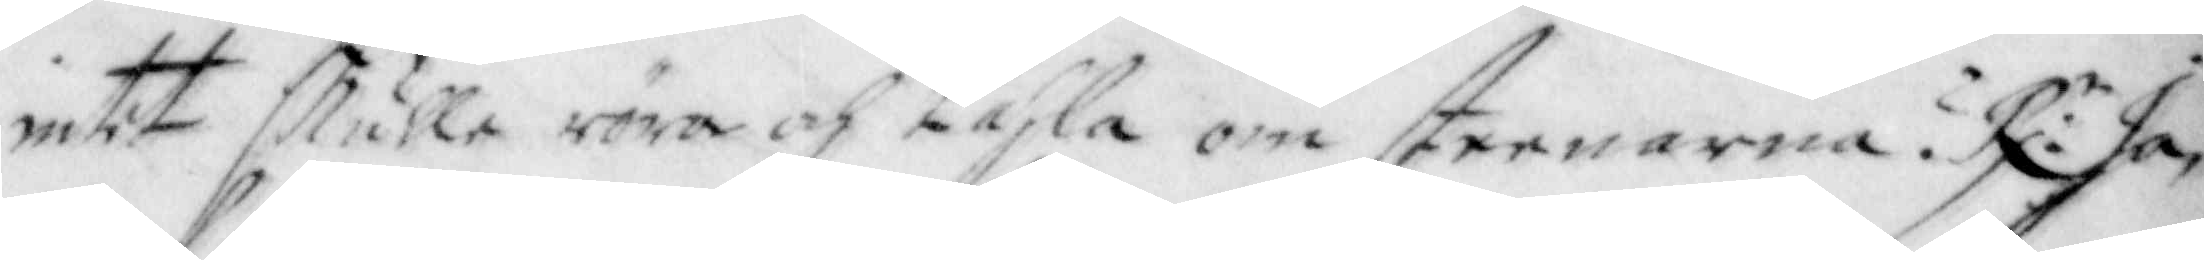intet skulle röra och tahla om steenarna? R:r Ja,
